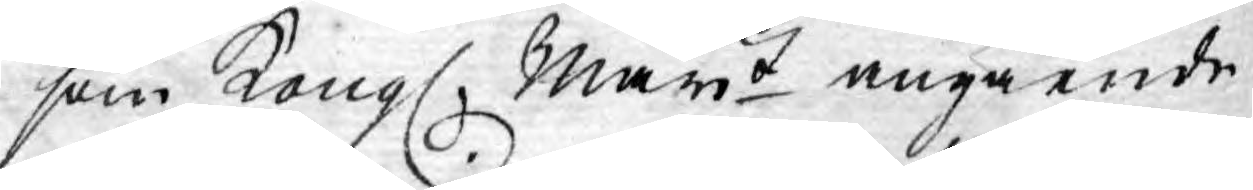som Kongl. Mayt angående
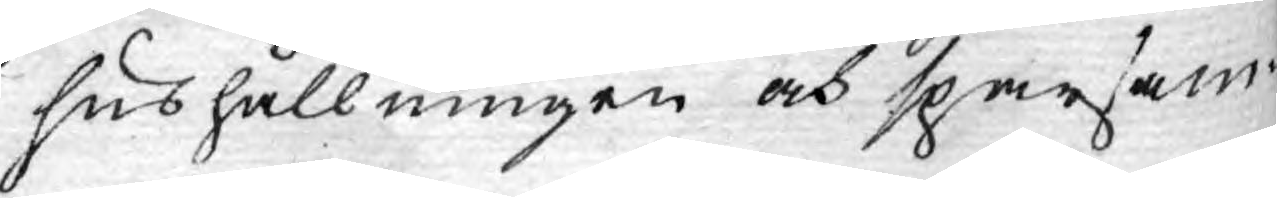hushållningen och sparsam¬
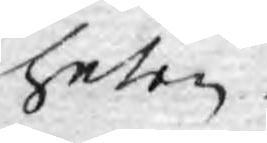heten.
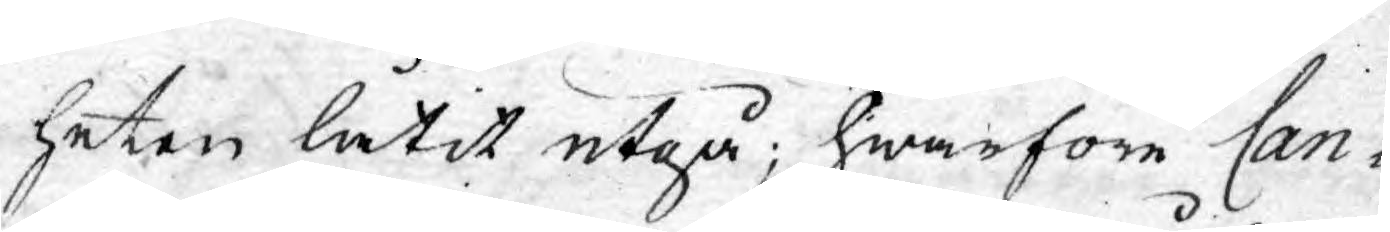heten låtit utgå; hwarföre Can¬
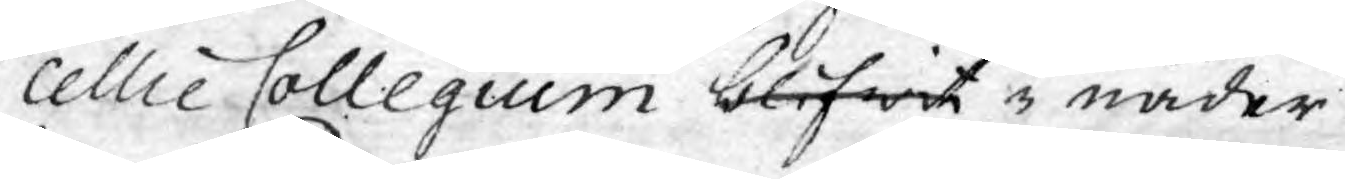cellie Collegium blifwit i nåder
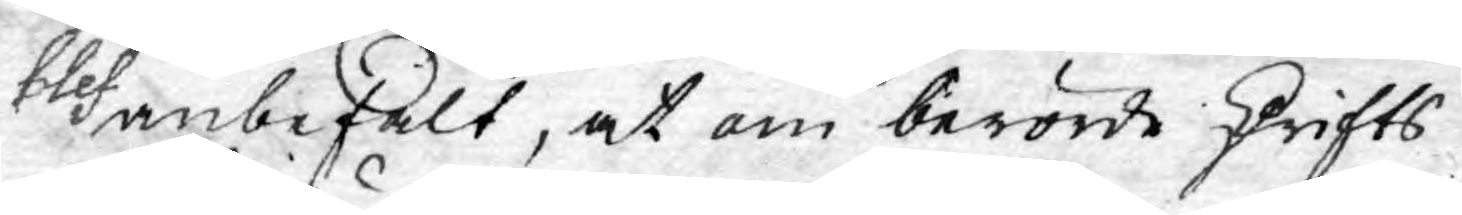blef anbefalt, at om berörde skrifts
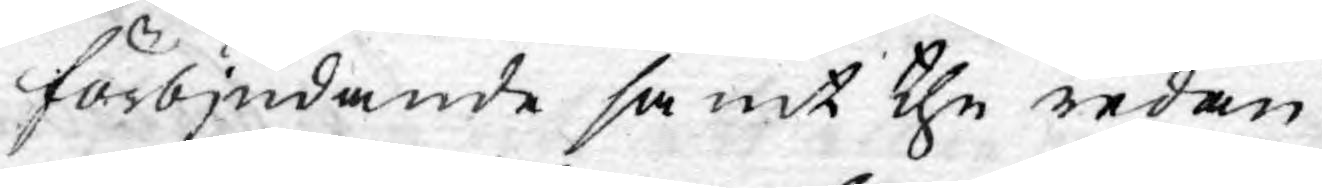förbjudande samt the redan
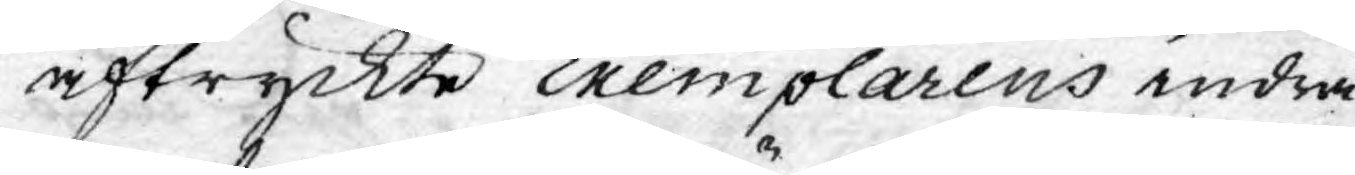aftryckte Exemplarens indra¬
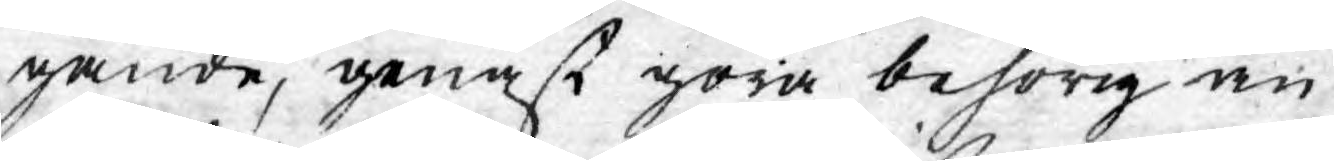gande, genast göra behörig an¬
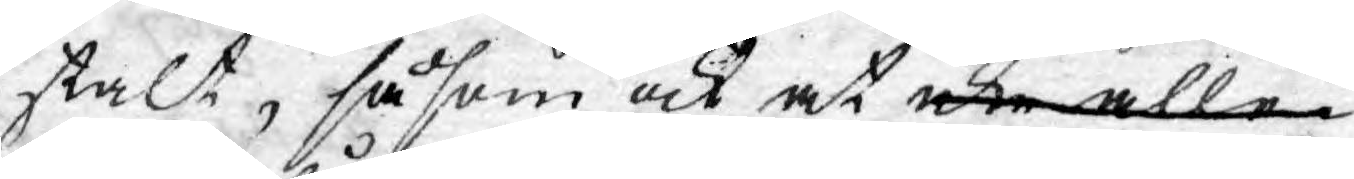stalt, såsom ock at icke alle¬
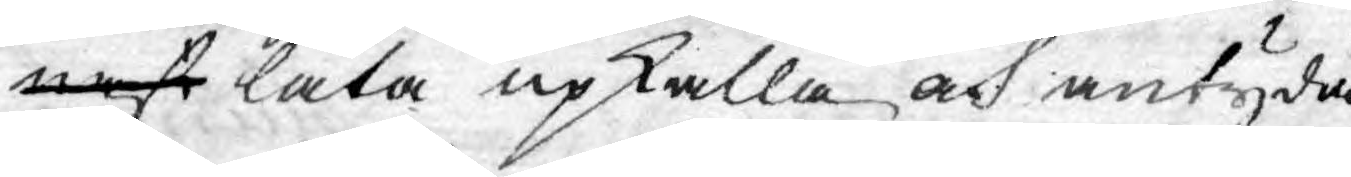nast låta upkalla och antyda
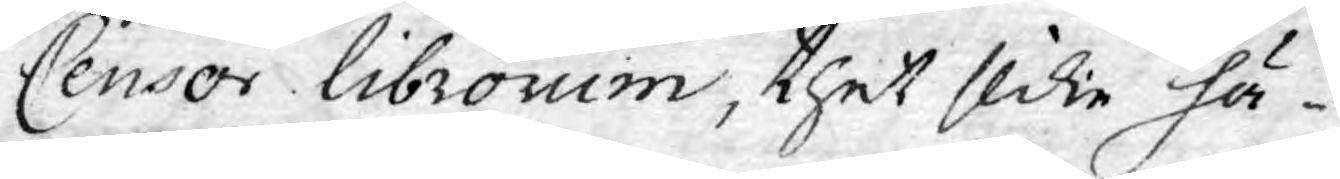Censor Librorum, thet slike hä¬
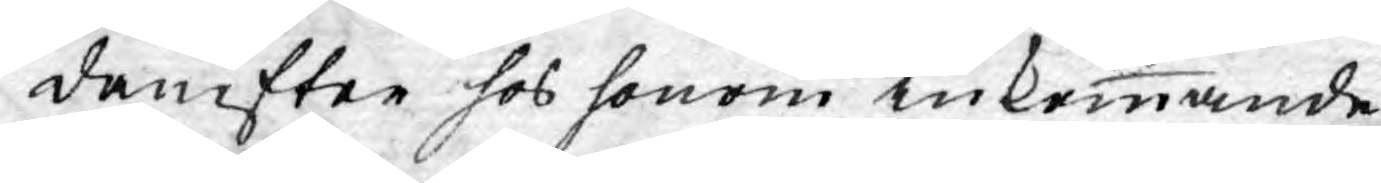danefter hos honom inkommande
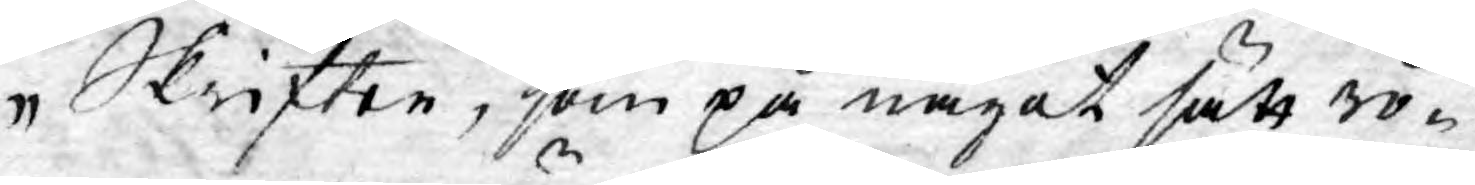Skrifter, som på något sätt rö¬
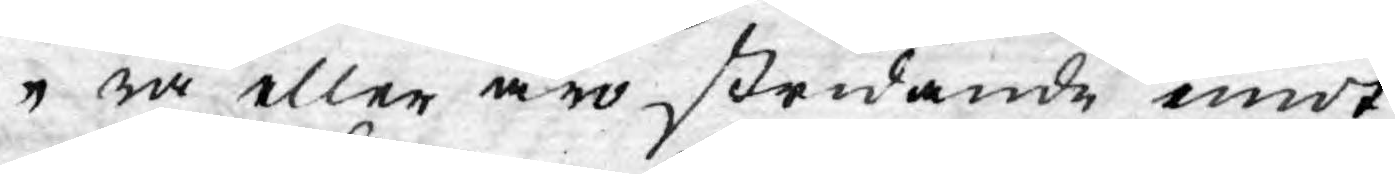ra eller äro stridande emot
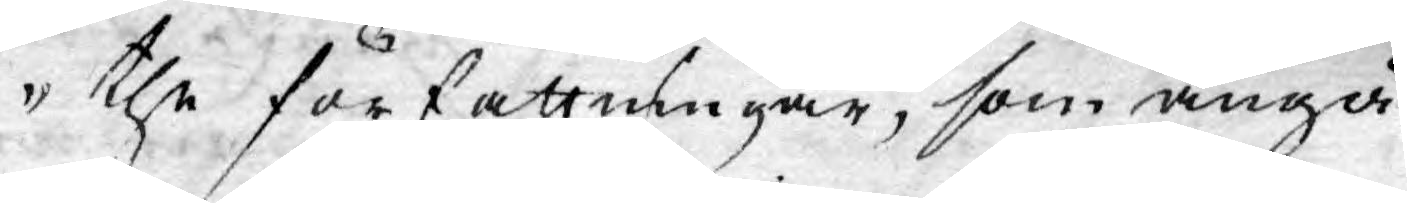the författningar, som angå¬
